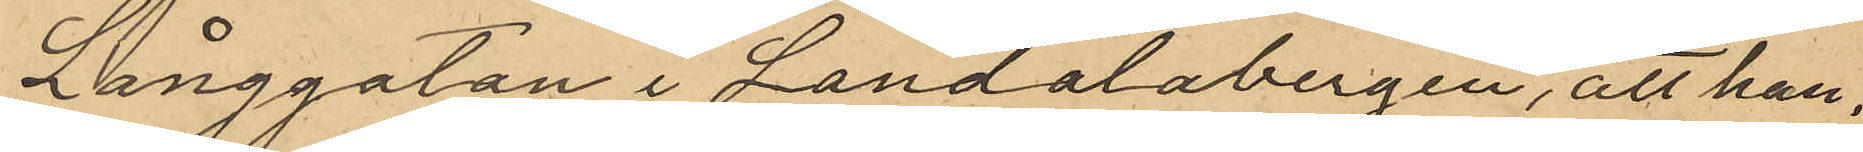Långgatan i Landalabergen, att han,
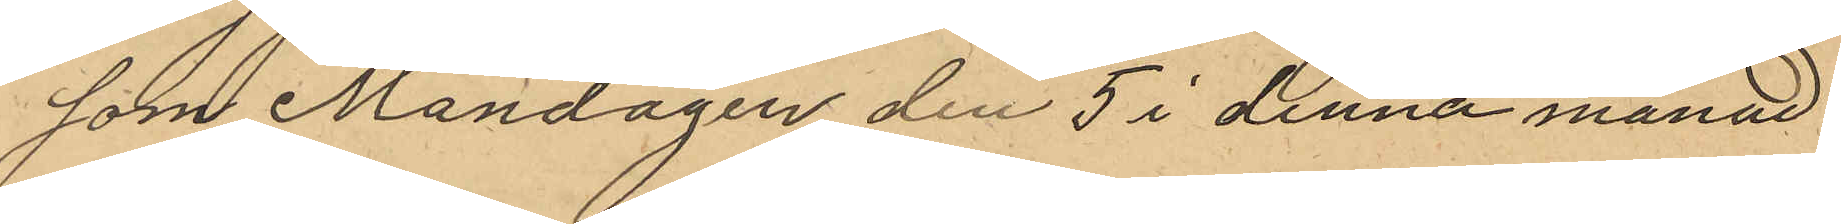som Mandagen den 5 i denna månad
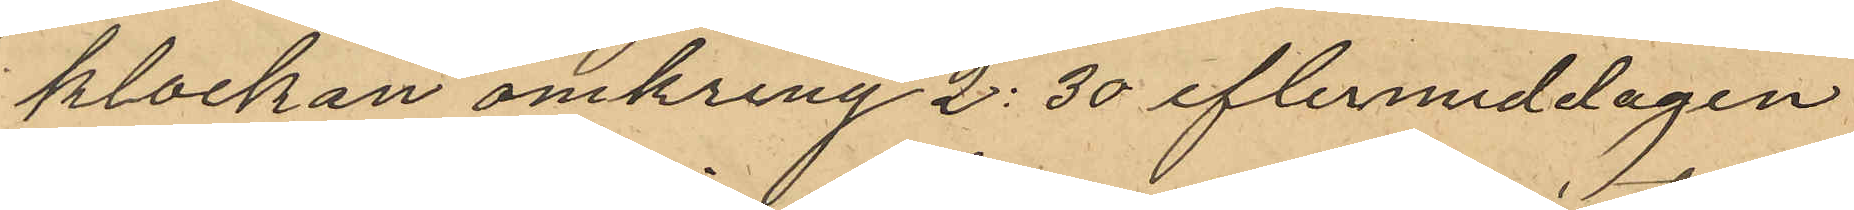klockan omkring 2:30 eftermiddagen
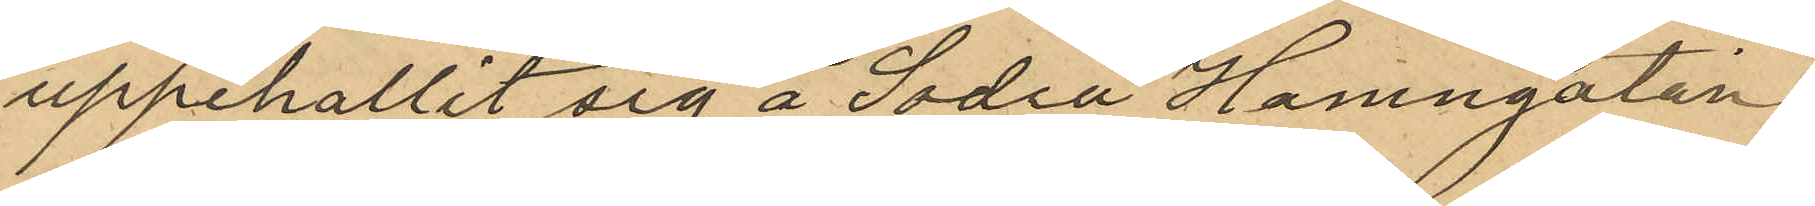uppehållit sig å Sodra Hamngatan
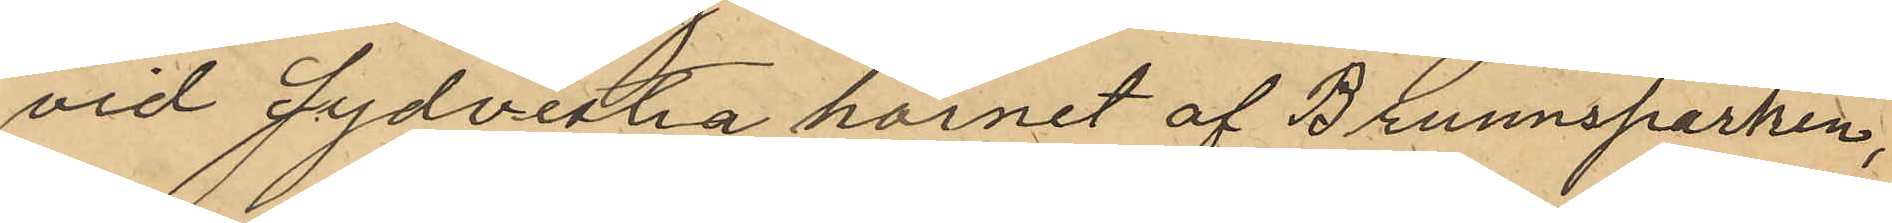vid Sydvesta hörnet af Brunnsparken,
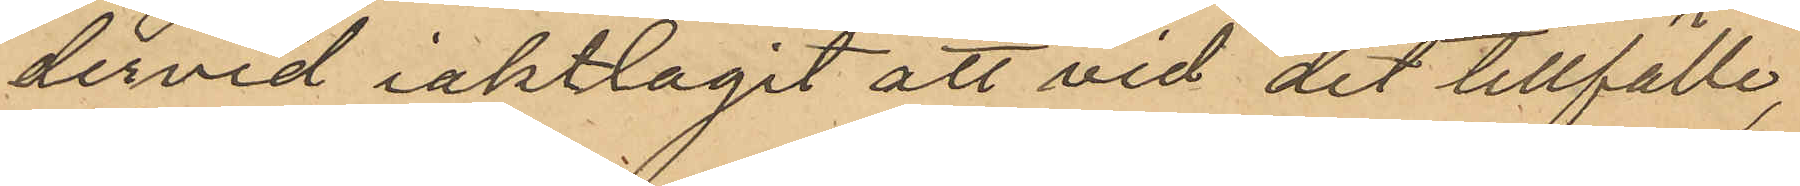dervid iakttagit att vid det tillfälle,
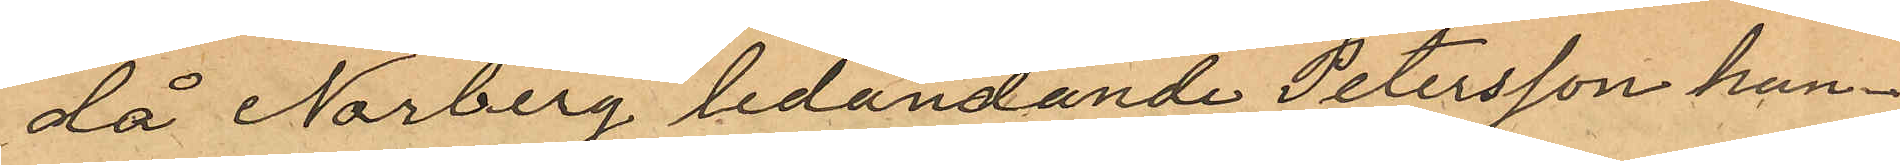då Norberg ledandande Petersson hun¬
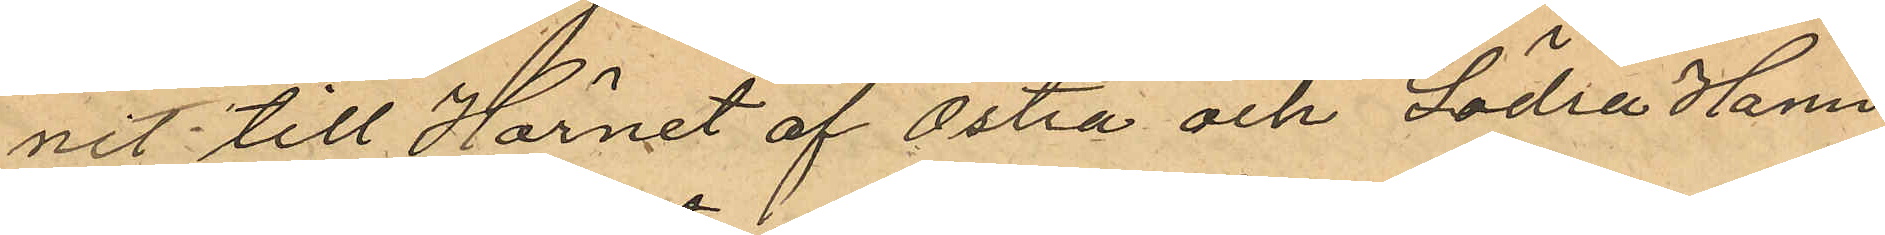nit till Hörnet af Östra och Södra Hamn
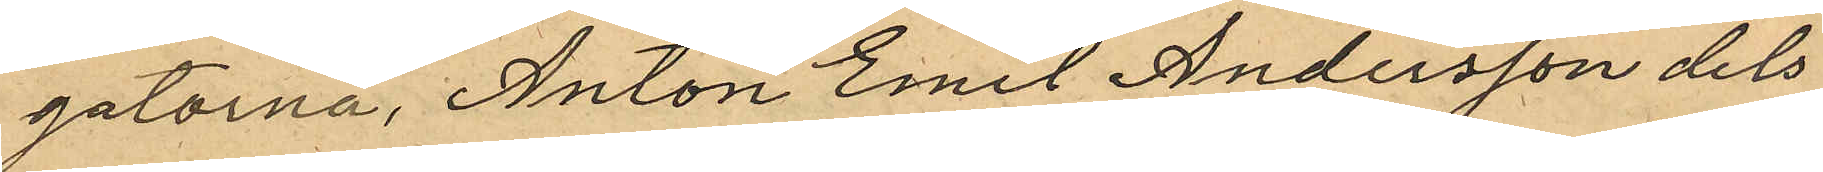gatorna, Anton Emil Andersson dels
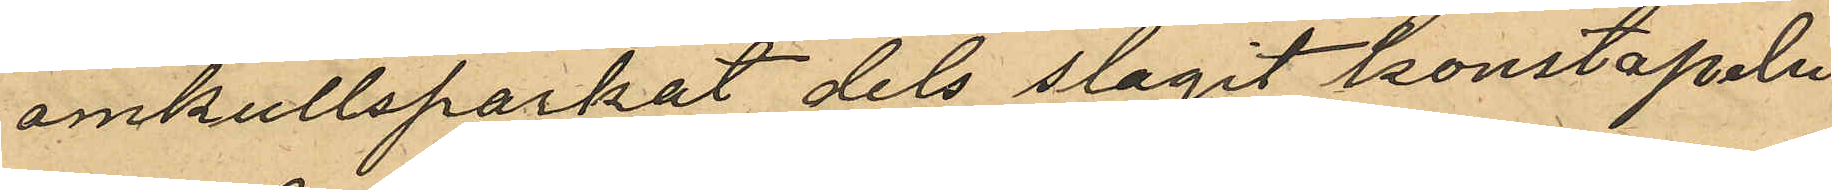omkullsparkat dels slagit konstapeln
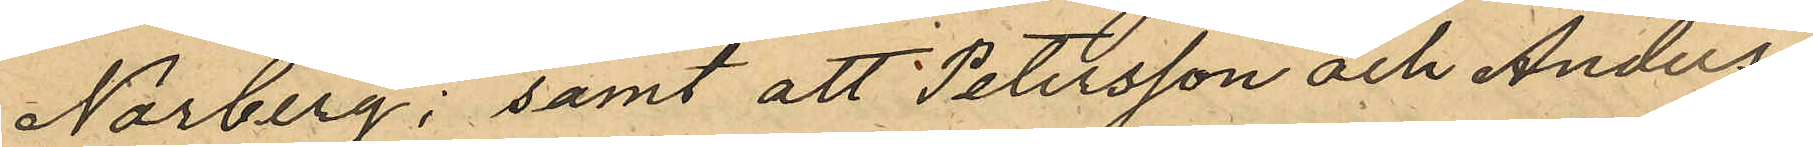Norberg; samt att Petersson och Anders¬
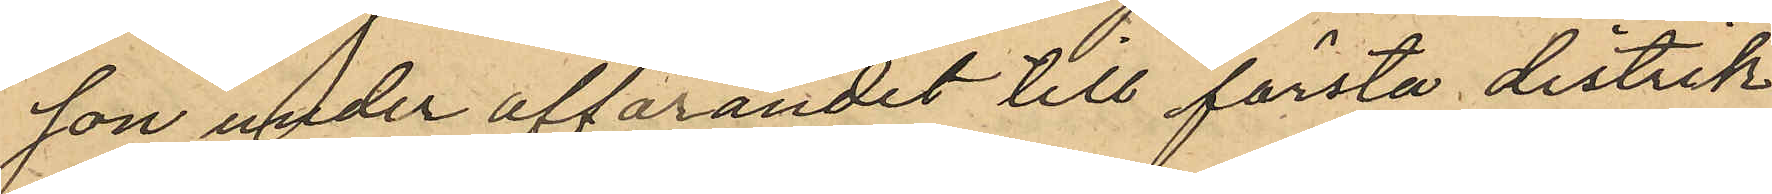son under afförandet till första distrik¬
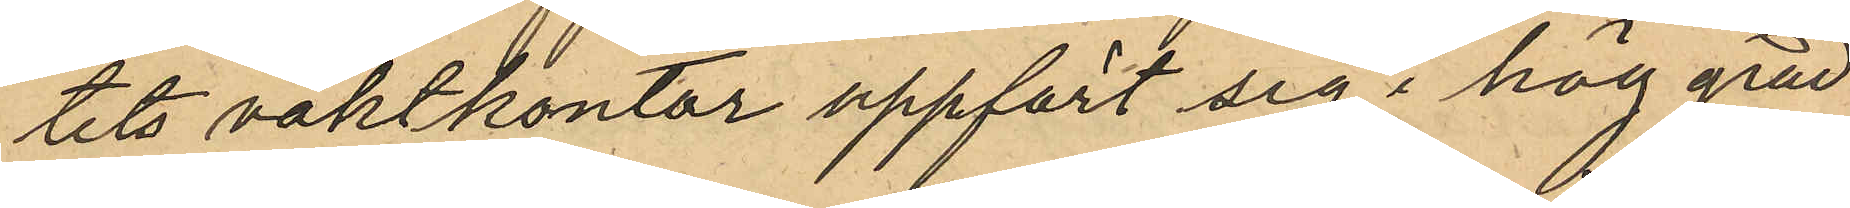tets vaktkontor uppfört sig i hög grad
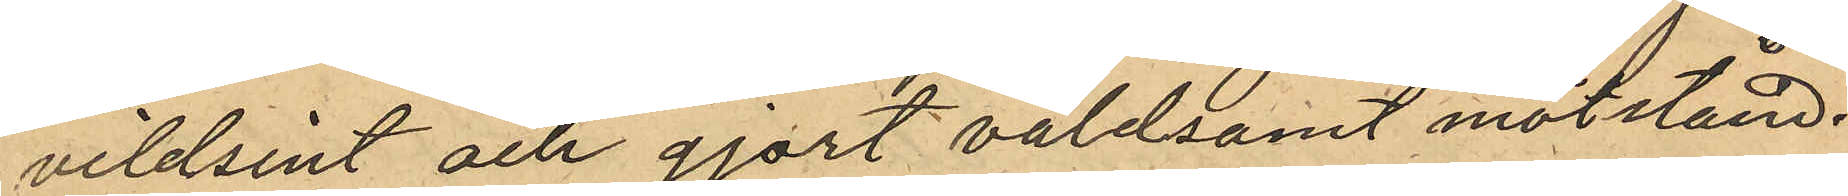vildsint och gjort våldsamt motstånd.
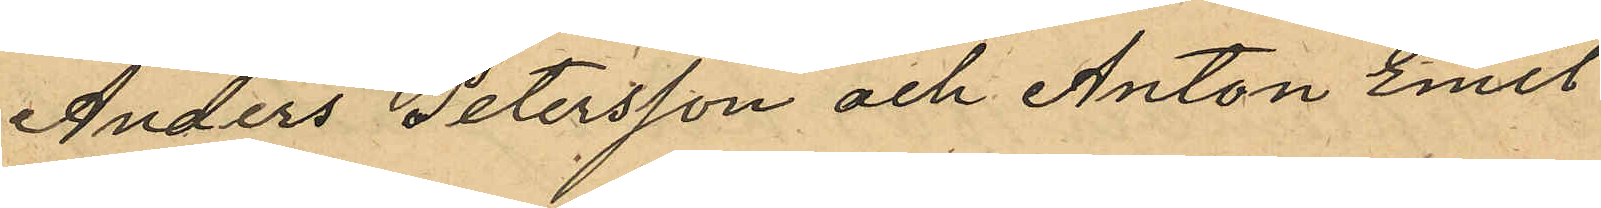Anders Petersson och Anton Emil
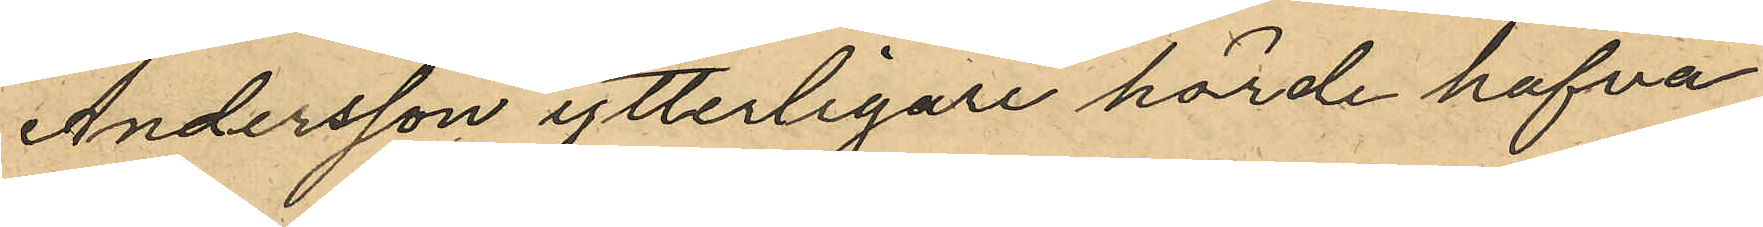Andersson ytterligare hörde hafva
